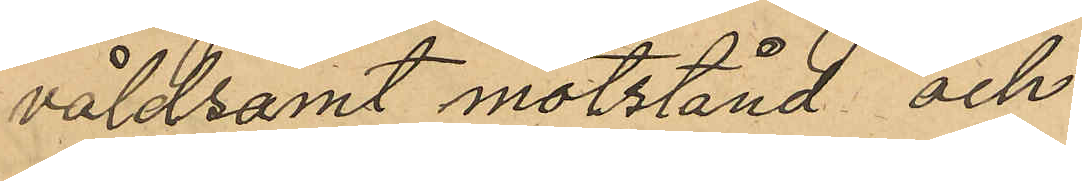våldsamt motstånd och
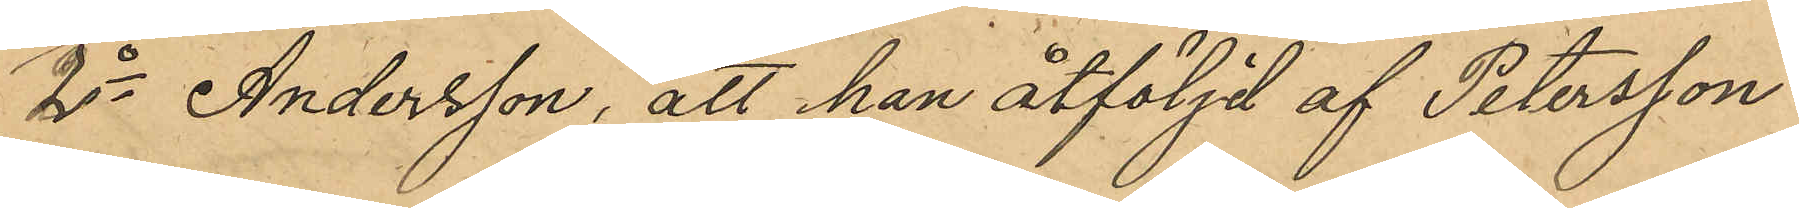2o Andersson, att han åtföljd af Petersson
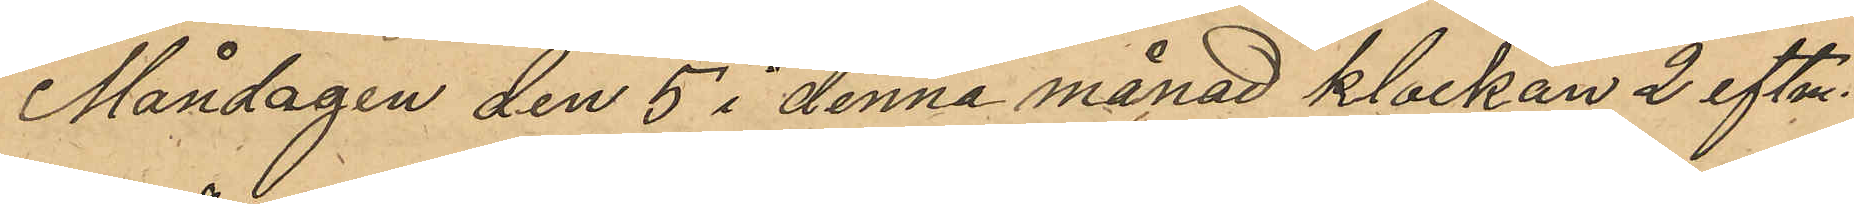Måndagen den 5 i denna månad klockan 2 eftm.
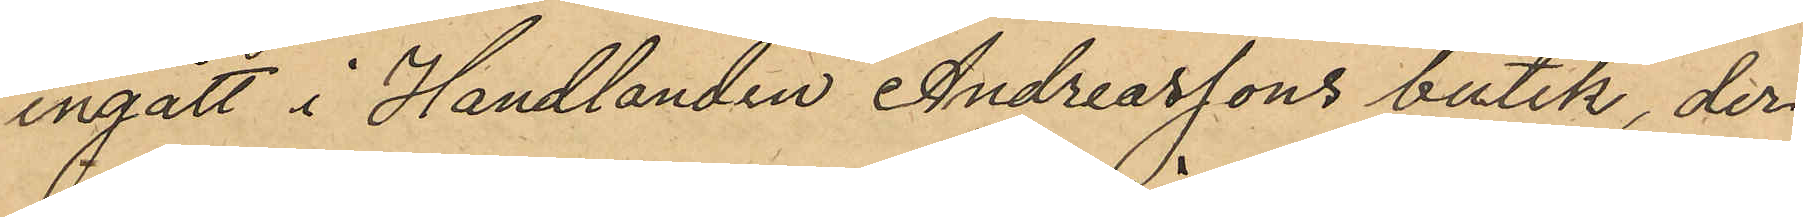ingått i Handlanden Andreassons butik, der
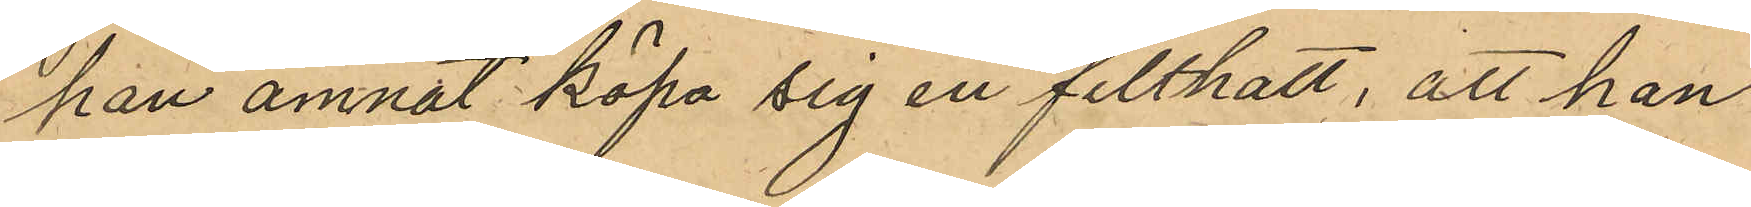han ämnat köpa sig en filthatt, att han
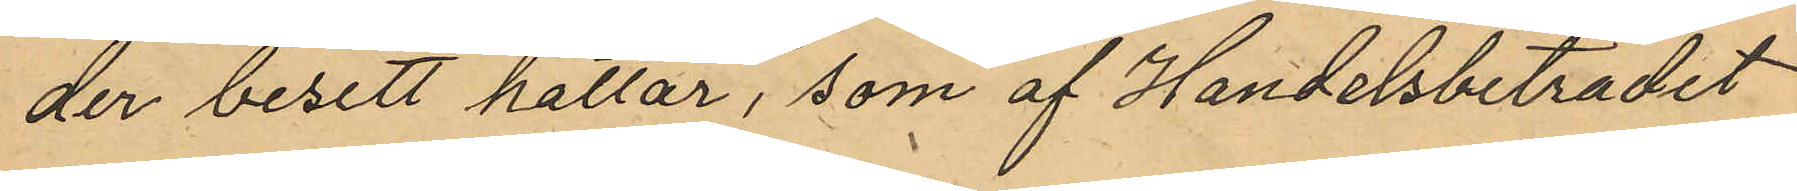der besett hattar, som af Handelsbiträdet
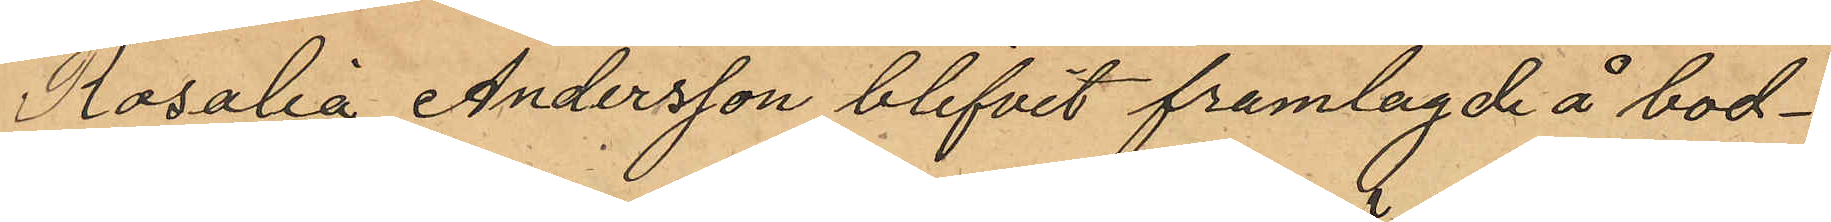Rosalia Andersson blifvit framlagde å bod¬
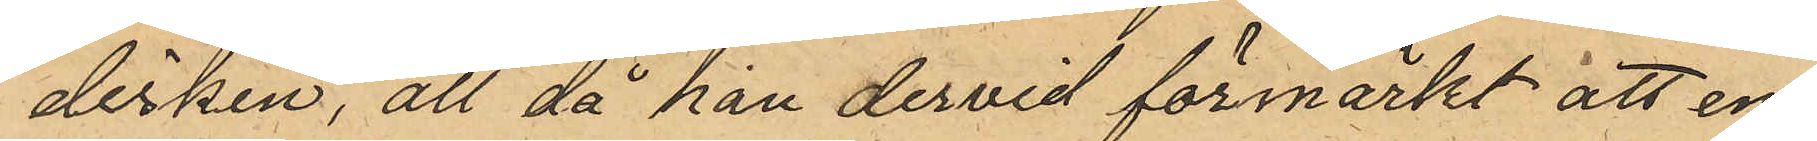disken, att då han dervid förmärkt att en
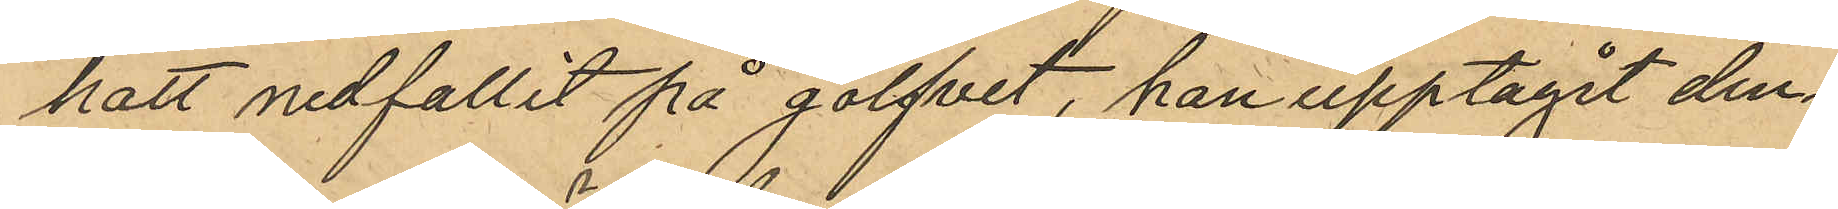hatt nedfallit på golfvet, han upptagit den¬
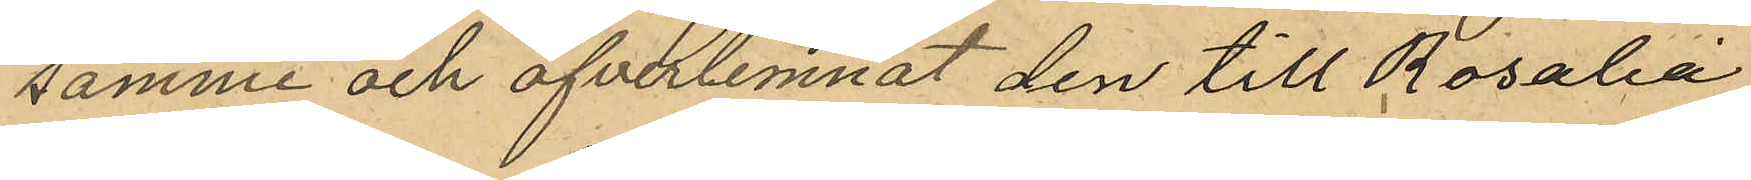samme och öfverlemnat den till Rosalia
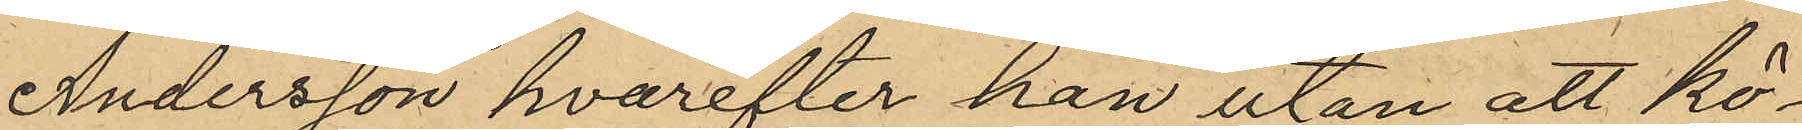Andersson hvarefter han utan att kö¬
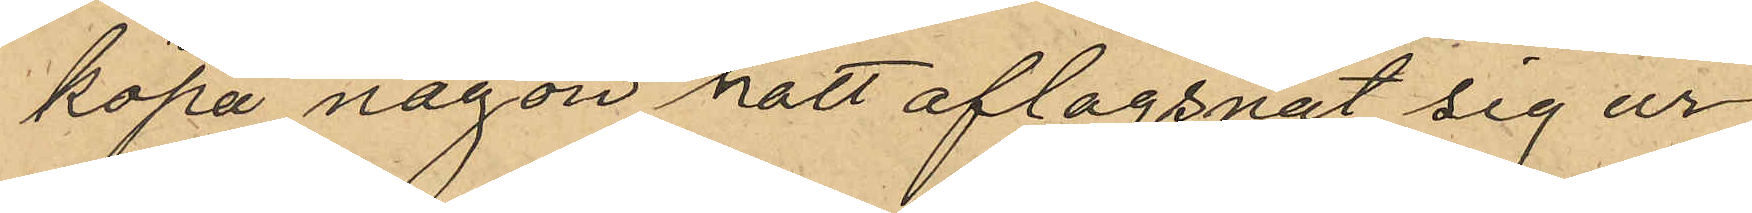köpa någon hatt aflägsnat sig ur
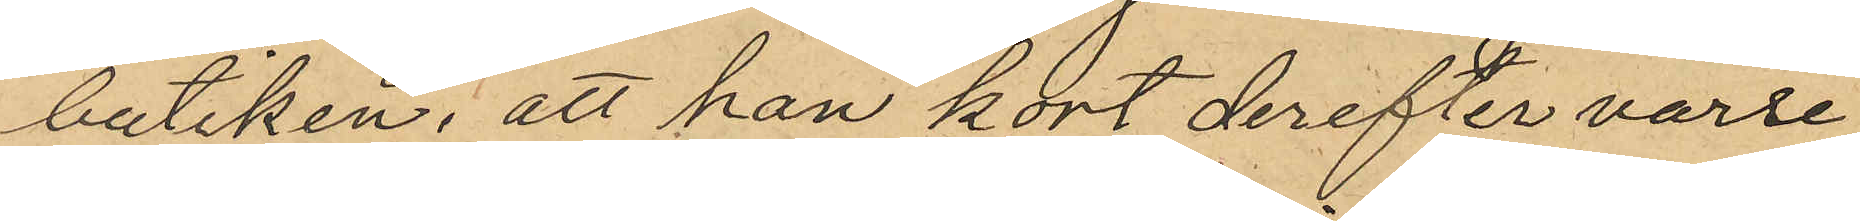butiken; att han kort derefter varse
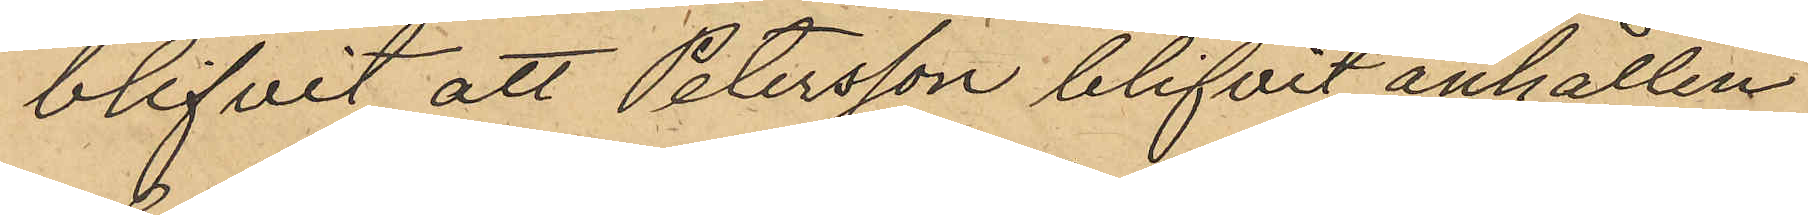blifvit att Petersson blifvit anhållen
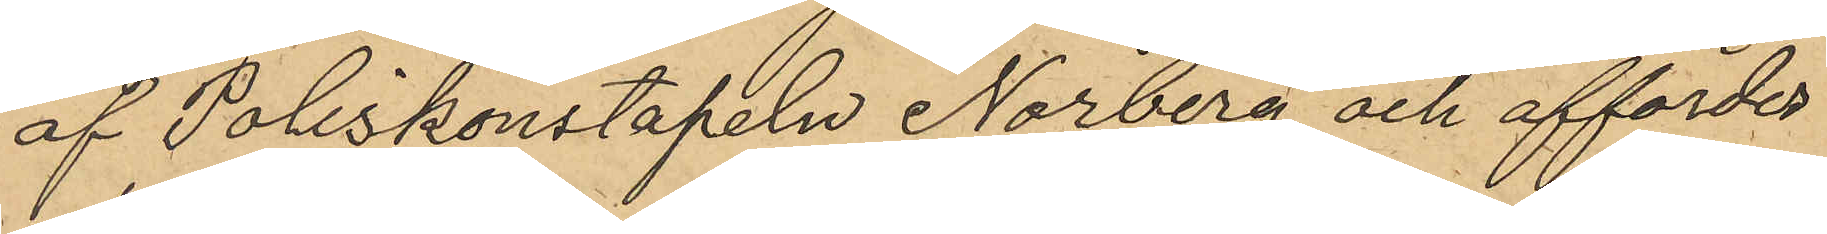af Poliskonstapeln Norberg och affördes
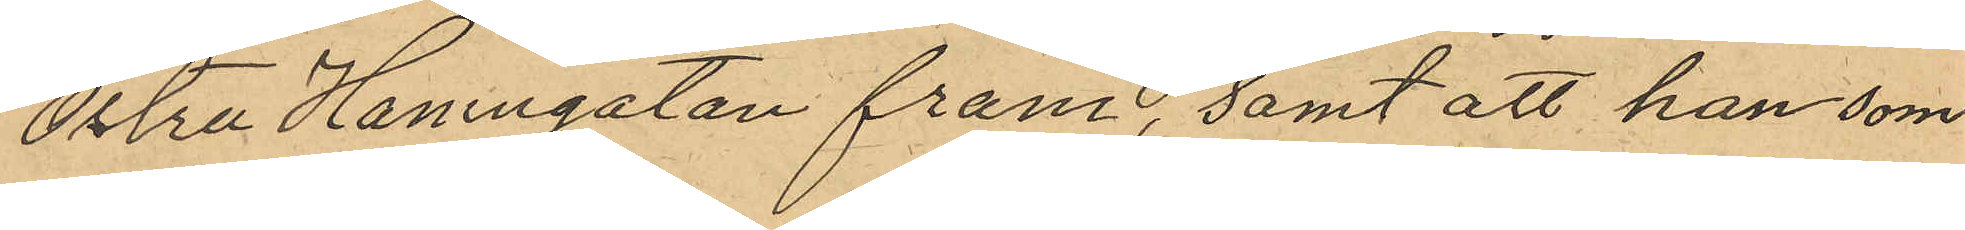Östra Hamngatan fram, samt att han som
